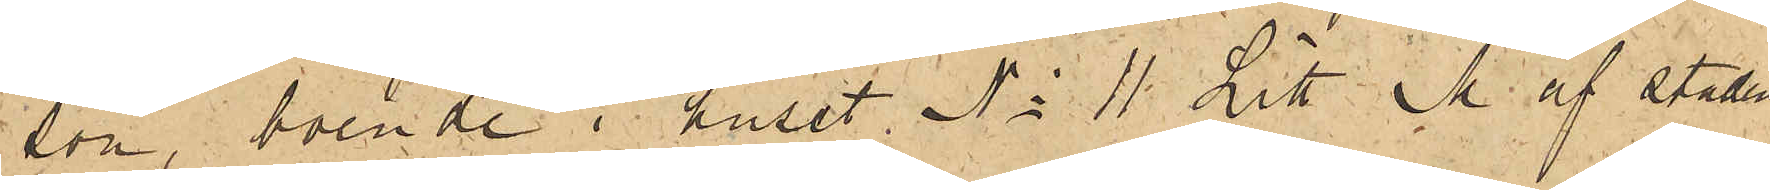son, boende i huset No 11 Litt M. af stadens
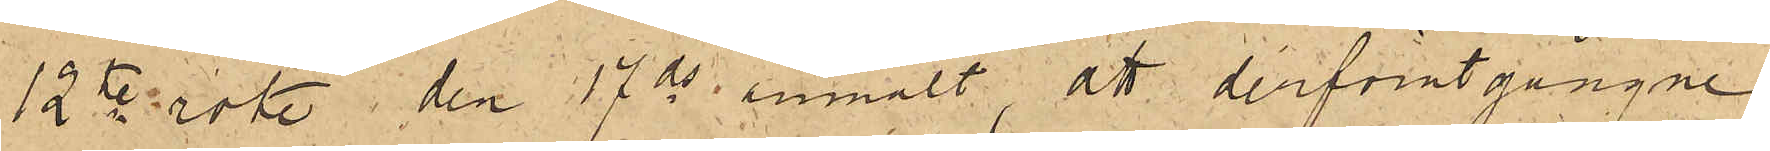12te rote den 17 ds anmält, att derförutgångne
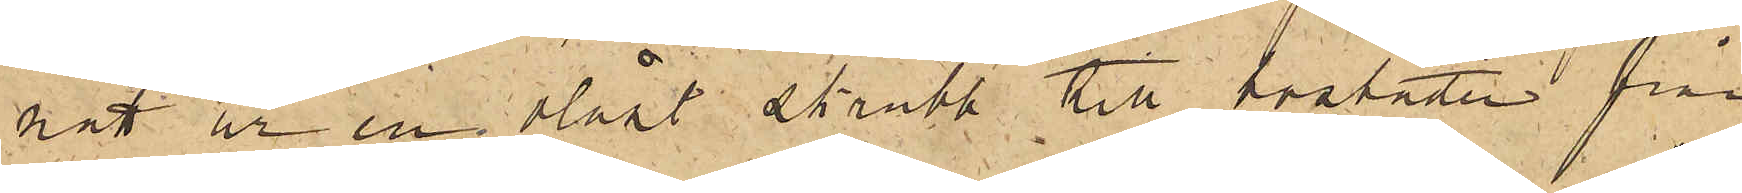natt ur en olåst skrubb till bostaden från
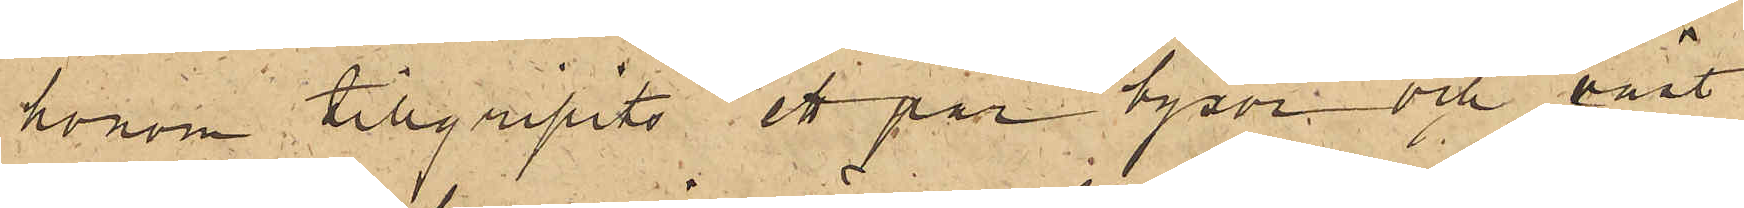honom tillgripits ett par byxor och väst
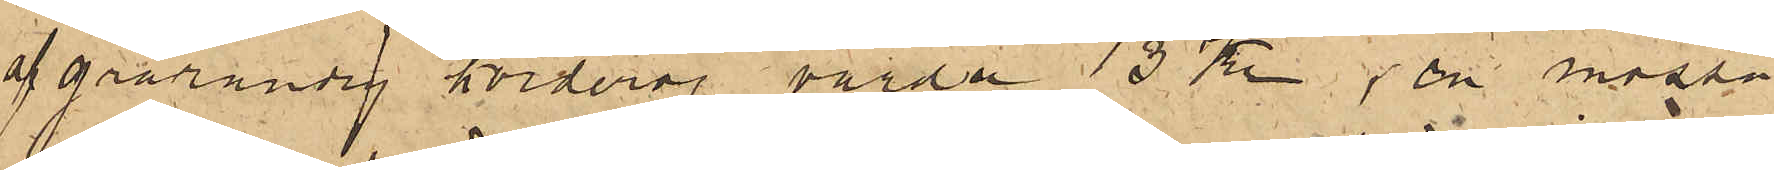af grårandig korderoj värda 13 Kr, en mössa
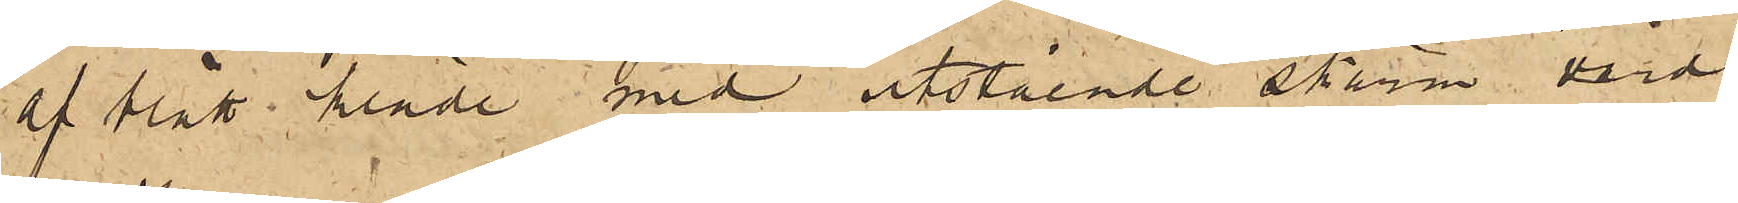af blått kläde med utstående skärm värd
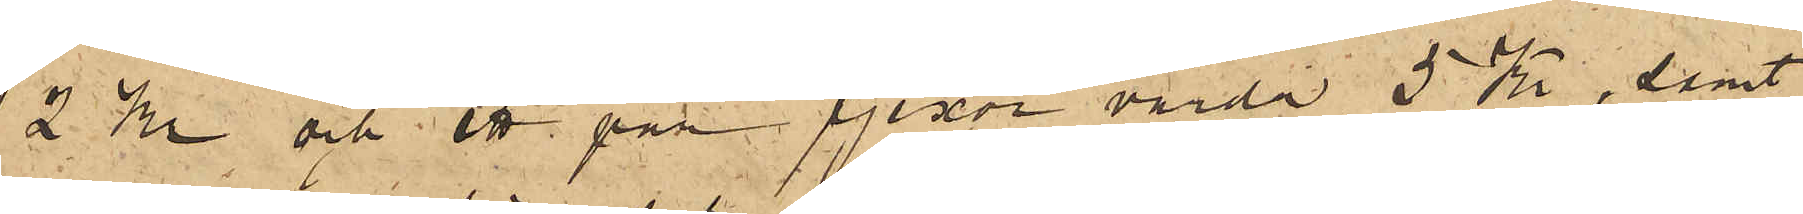2 Kr och ett par pjexor värda 5 Kr, samt
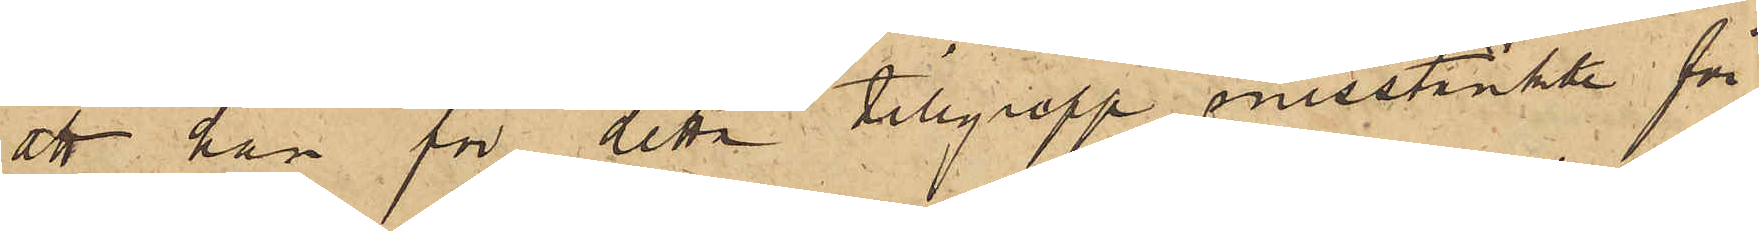att han för detta tillgrepp misstänkte för
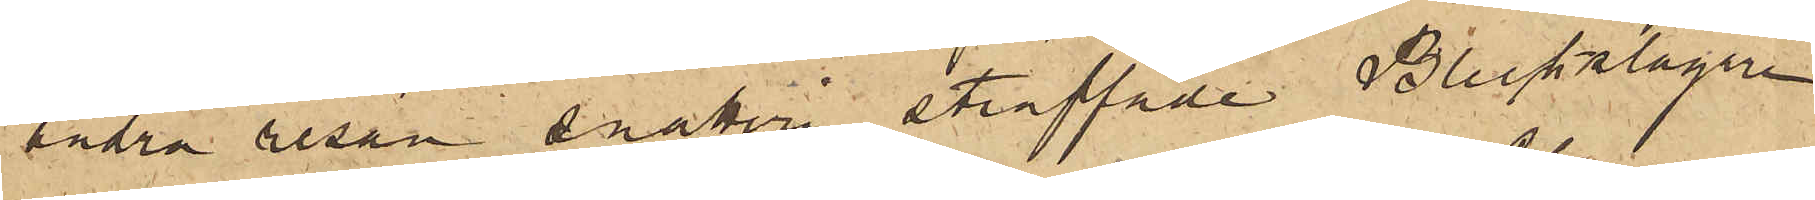andra resan snatteri straffade Bleckslagare¬
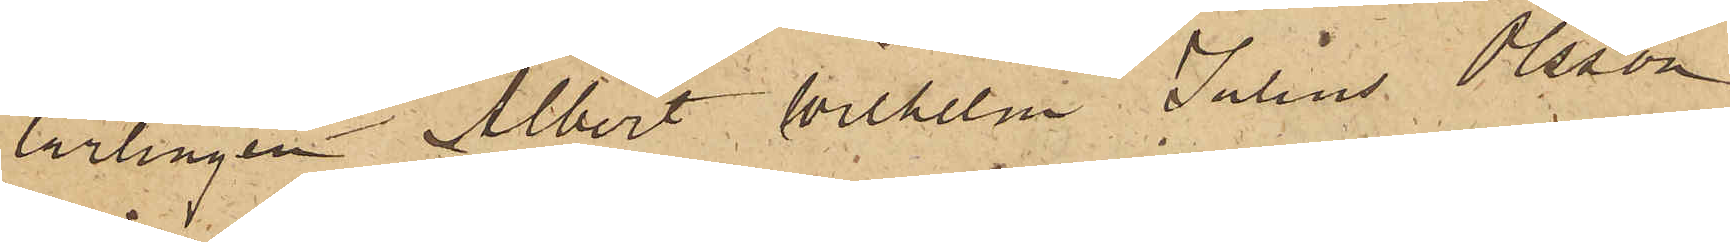lärlingen Albert Wilhelm Julius Olsson,
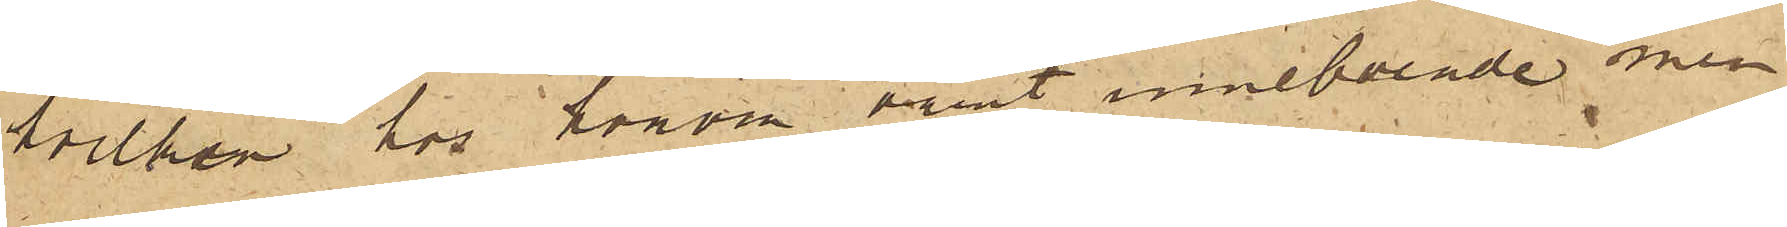hvilken hos honom varit inneboende men
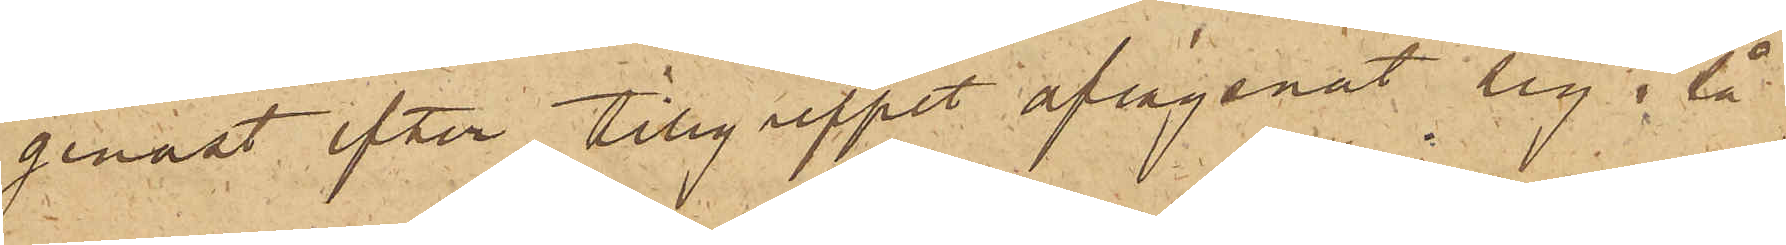genast efter tillgreppet aflägsnat sig, så
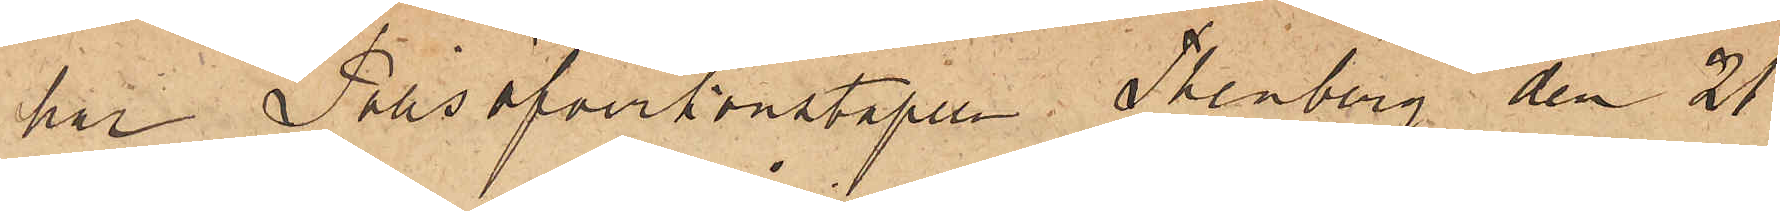har Polisöfverkonstapeln Thenberg den 21
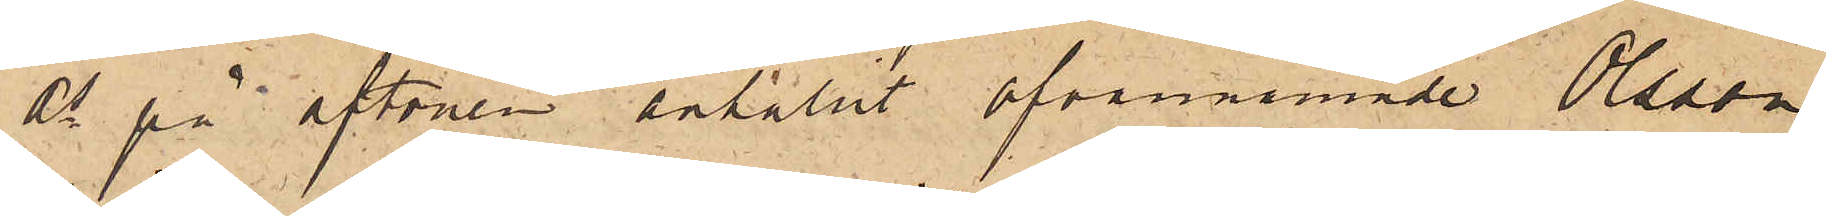ds på aftonen anhållit ofvannämnde Olsson,
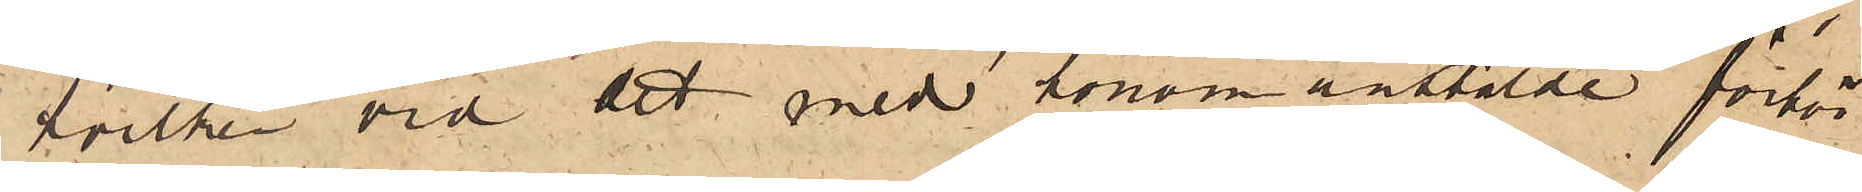hvilken vid det med honom anstälde förhör
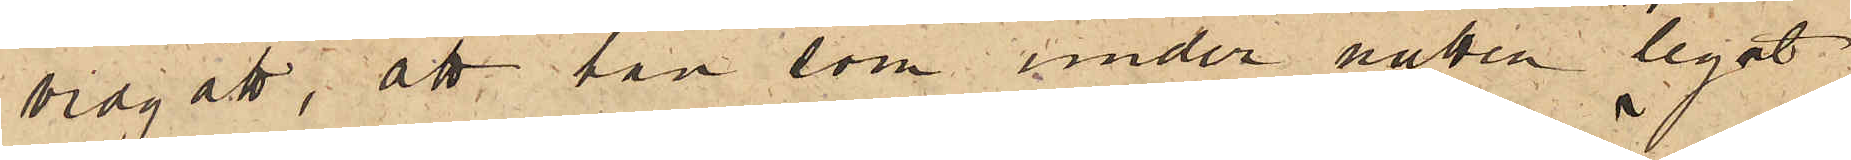vidgått, att han som under natten legat
